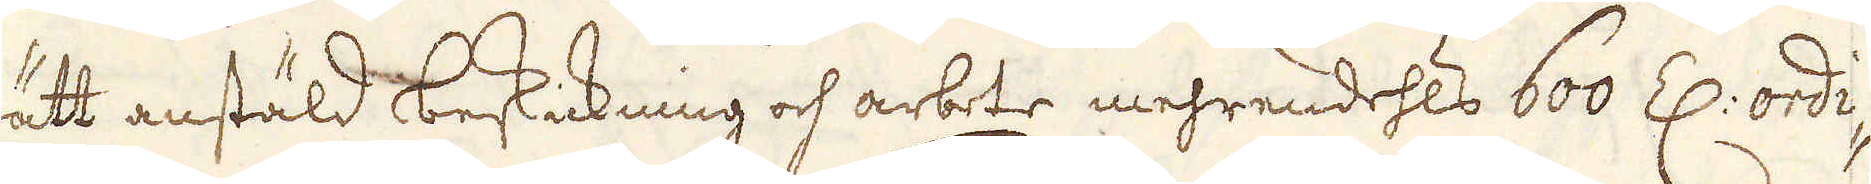rätt anstäld beskickning och arbete mehrendehls 600 Z: ordi-
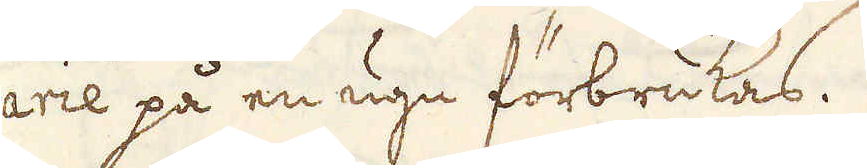narie på en ugn förbrukas.
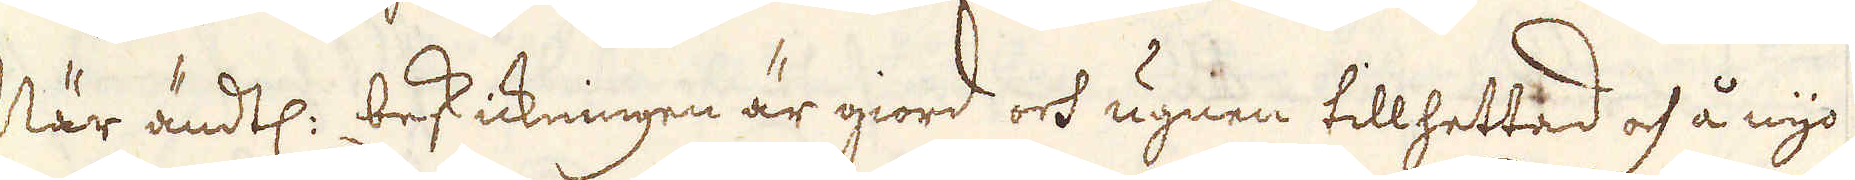När ändtl: beskickningen är giord och ugnen tillhettad och å nyo
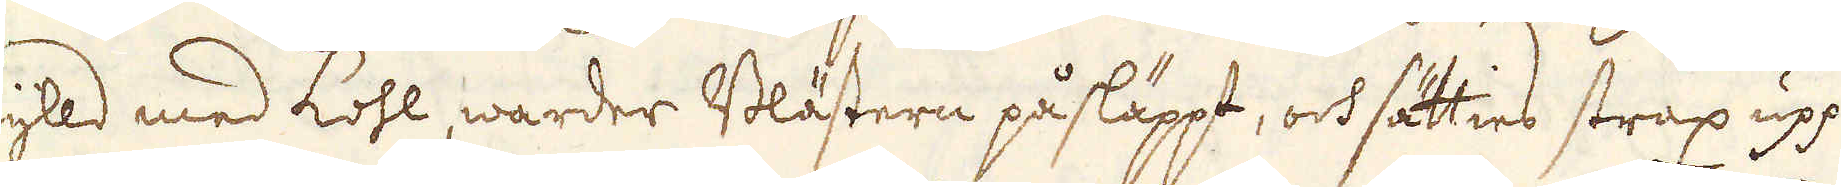fylld med kohl, warder Blästern påsläppt, och sätties strax upp
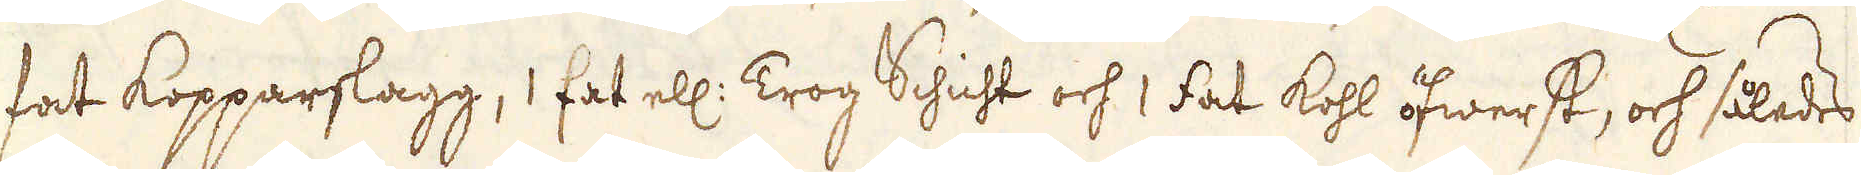1 fat kopparslagg, 1 fat ell: Trog Schicht och 1 fat kohl öfwerst, och således
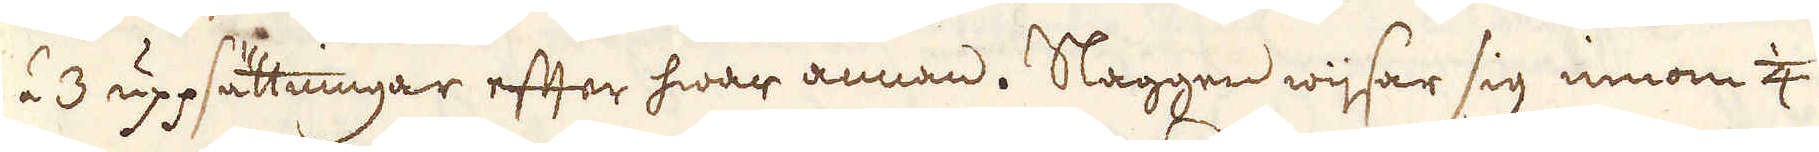2 á 3 uppsättningar efter hwar annan. Slaggen wijsar sig innom 1/4
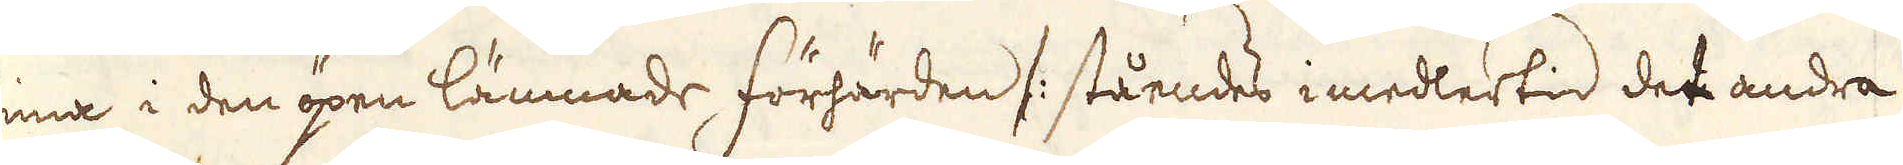tima i den öpen lämnade förhärden /: ståendes i medlertid det andra
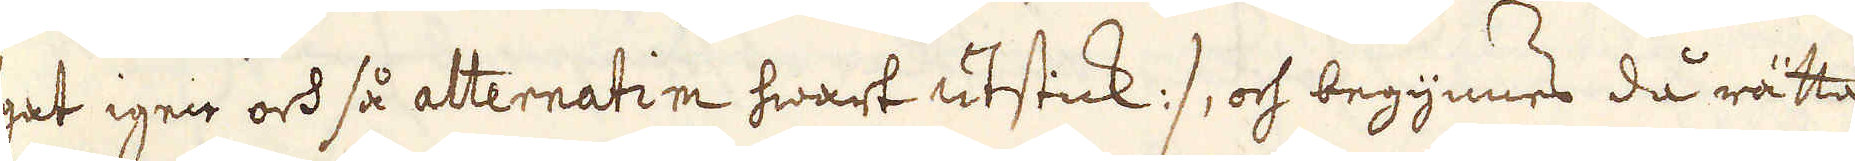ögat igen och så alternatim hwart utstick:/, och begynnes då rätta
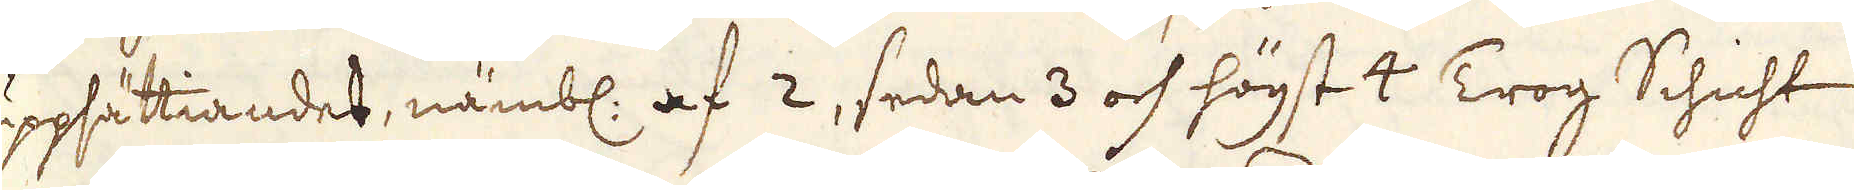uppsättiandet, nämbl: af 2, sedan 3 och högst 4 Trog Schicht
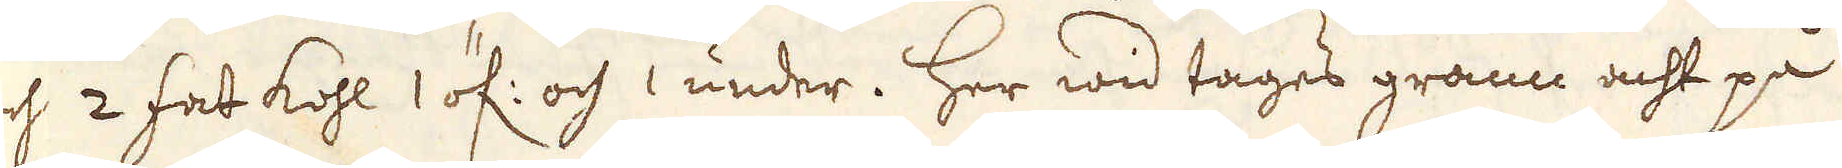och 2 fat kohl 1 öf: och 1 under. Her wid tages grann acht på
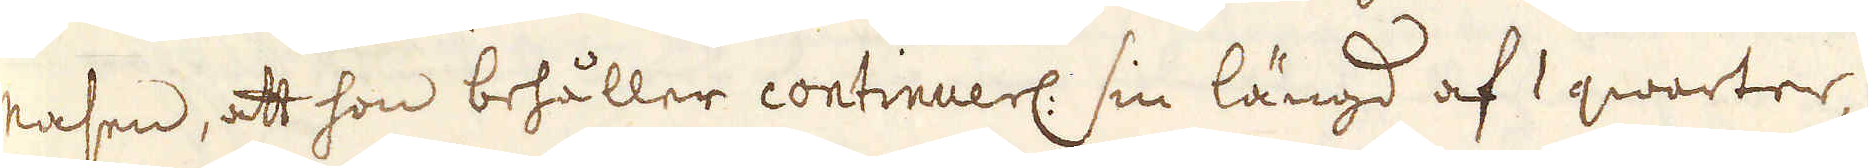nasen, att hon behåller continuerl: sin längd af 1 qwarter,
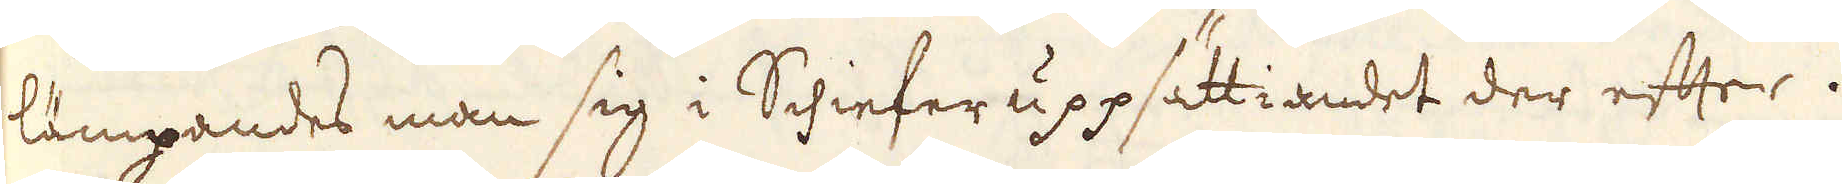lämpandes man sig i Schiefer uppsättiandet der efter.
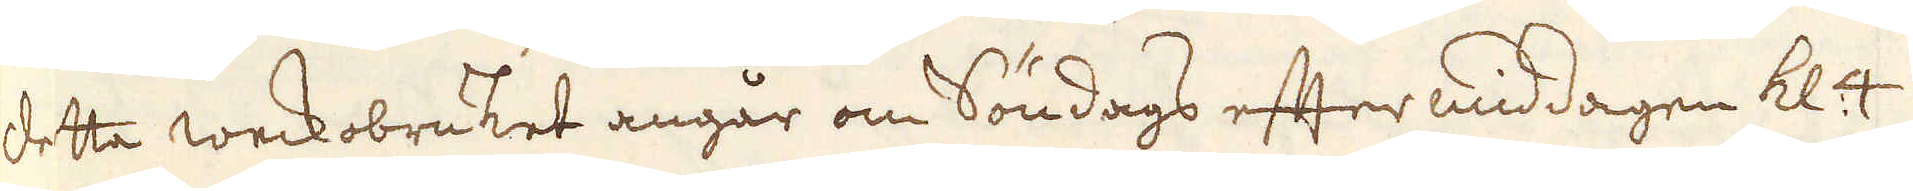Detta weckobruket angår om Söndags eftermiddagen kl: 4
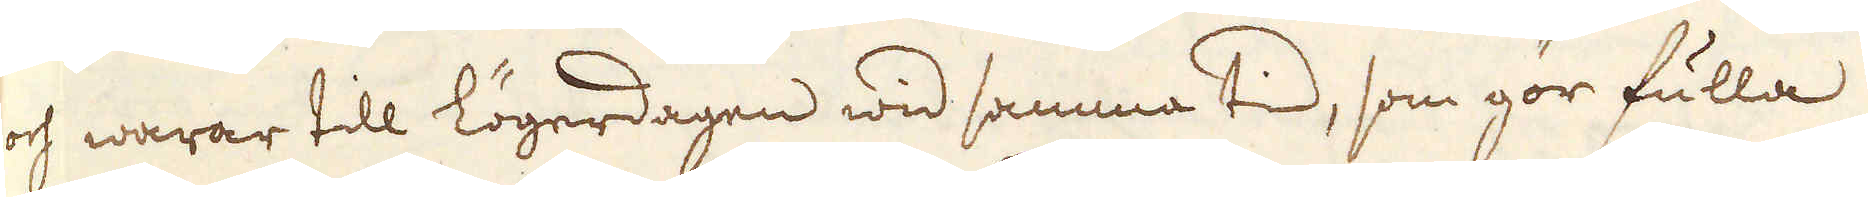och warar till Lögerdagen wid samma tid, som gör fulla
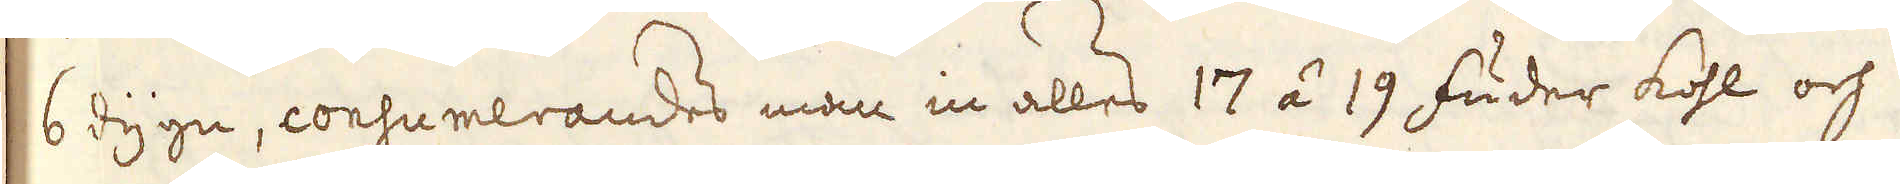6 dygn, consumerandes man in alles 17 á 19 fuder kohl och
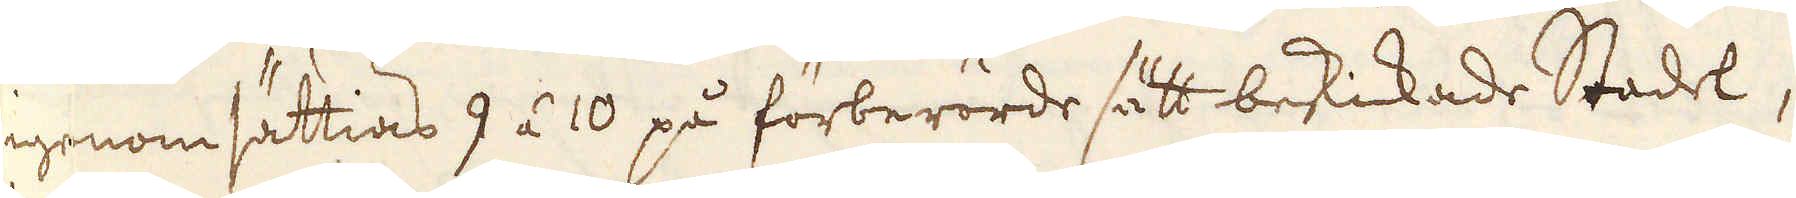igenom sättias 9 á 10 på förberörde sätt bekickad Stadel,
